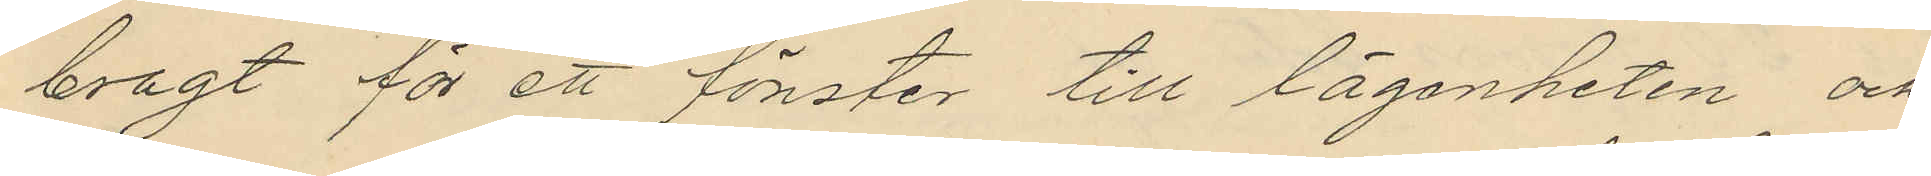bragt för ett fönster till lägenheten och
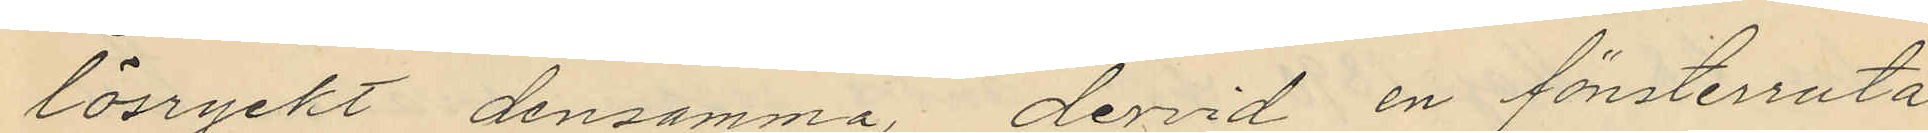lösryckt densamma, dervid en fönsterruta
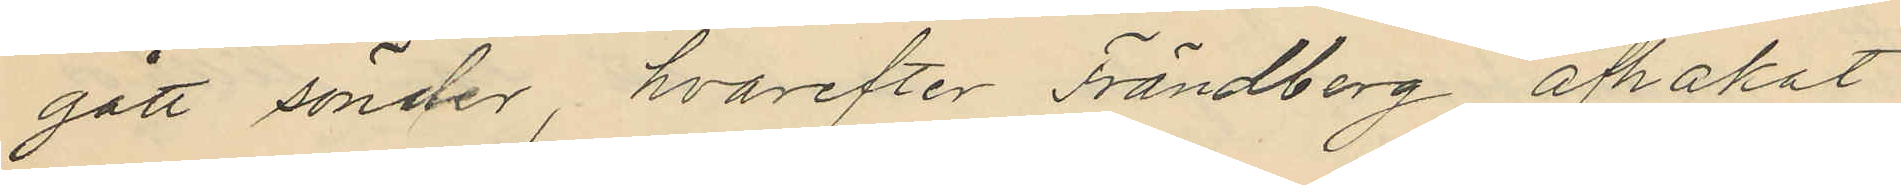gått sönder, hvarefter Frändberg afhakat
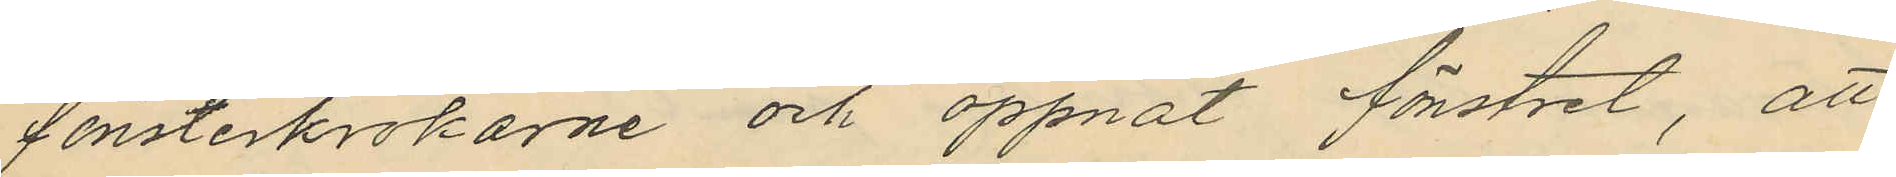fönsterkrokarne och öppnat fönstret, att
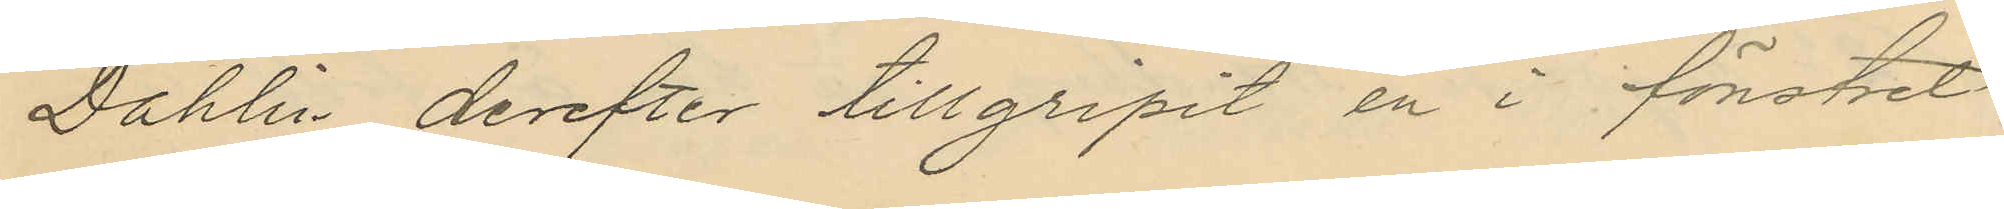Dahlin derefter tillgripit en i fönstret
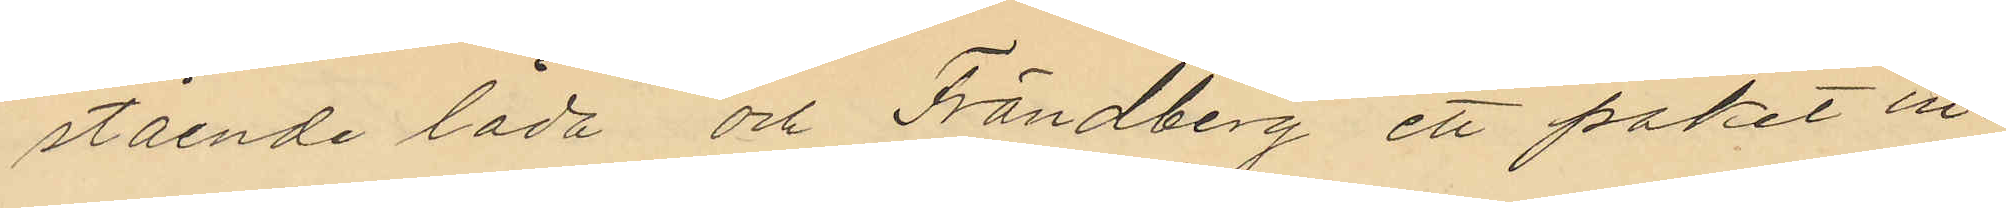stående låda och Frändberg ett paket in¬
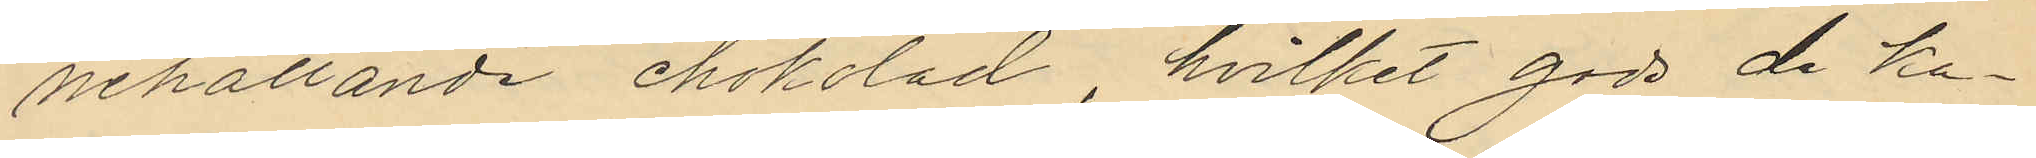nehållande chokolad, hvilket gods de ka¬
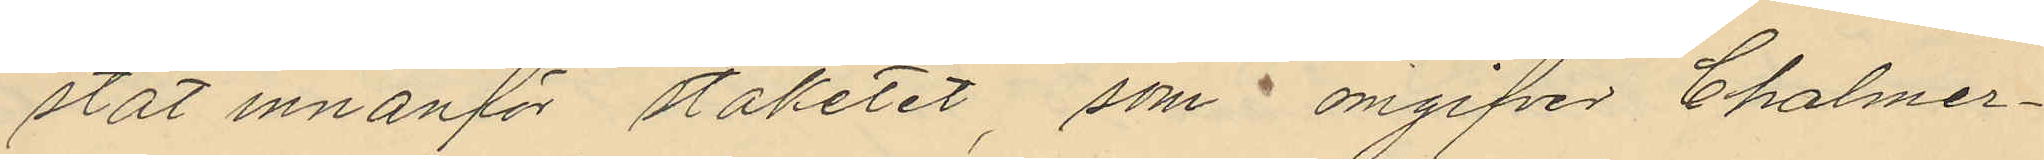stat innanför staketet, som omgifver Chalmer¬
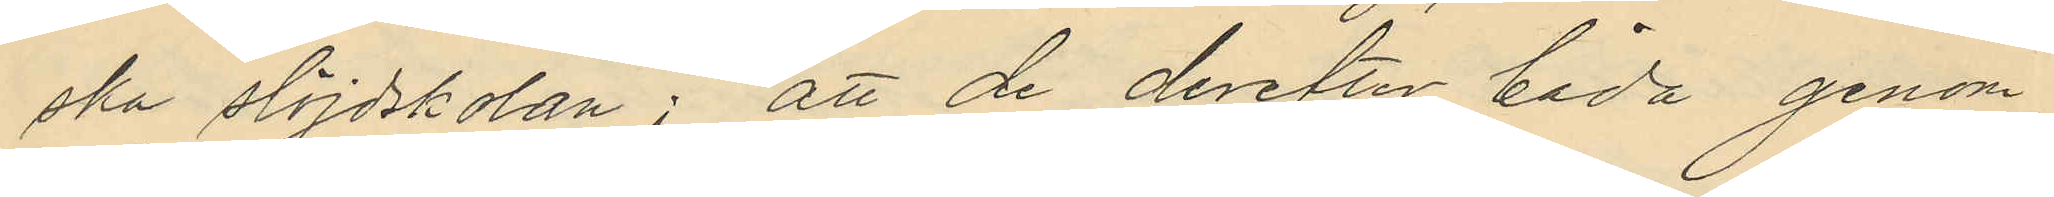ska slöjdskolan; att de derefter båda genom
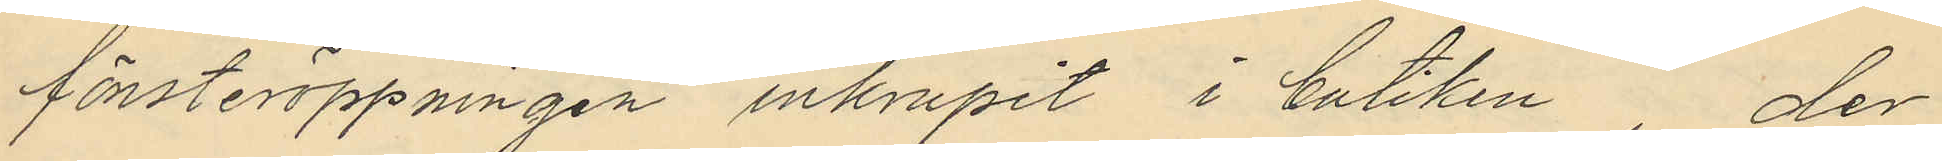fönsteröppningen inkrupit i butiken, der
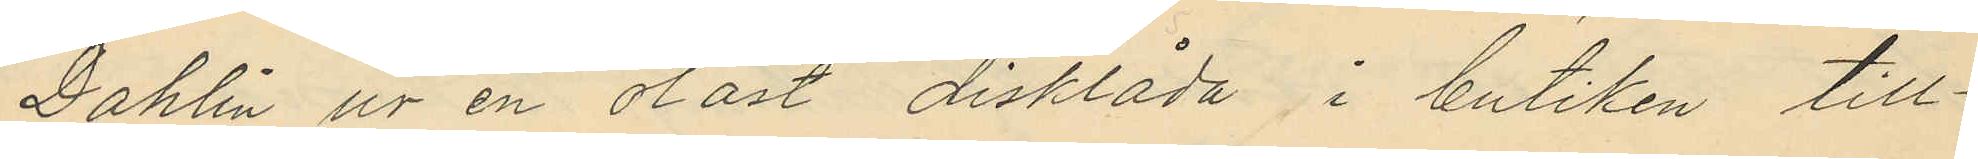Dahlin ur en olåst disklåda i butiken till¬
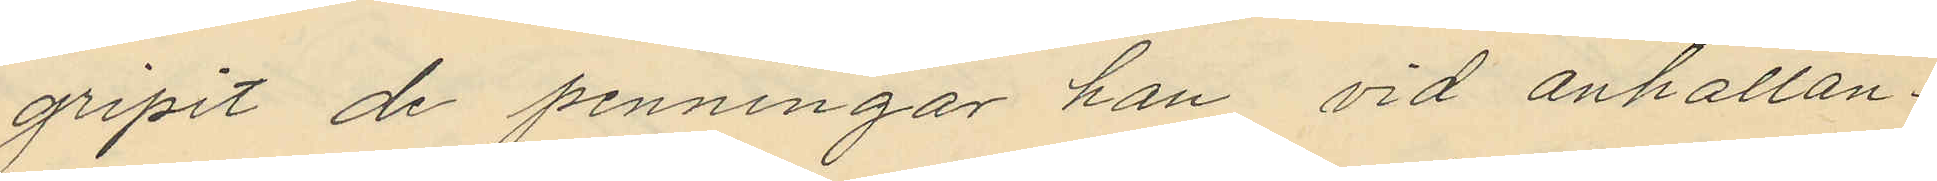gripit de penningar han vid anhållan¬
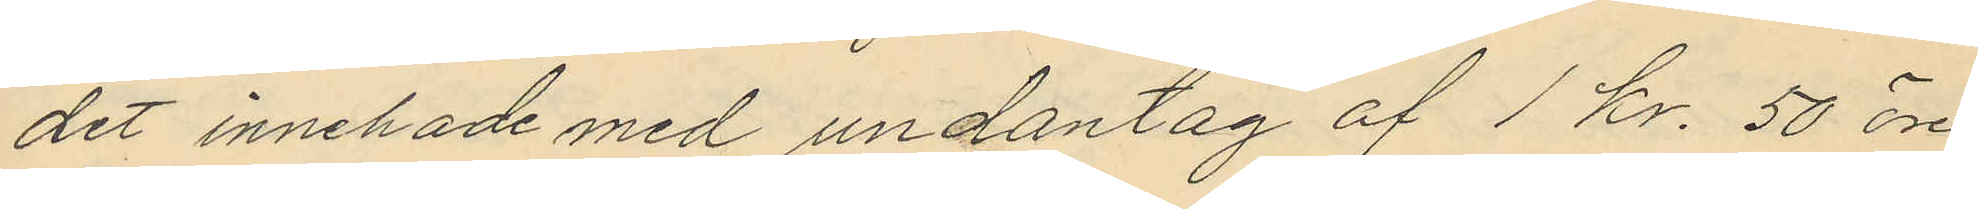det innehade med undantag af 1 kr. 50 öre
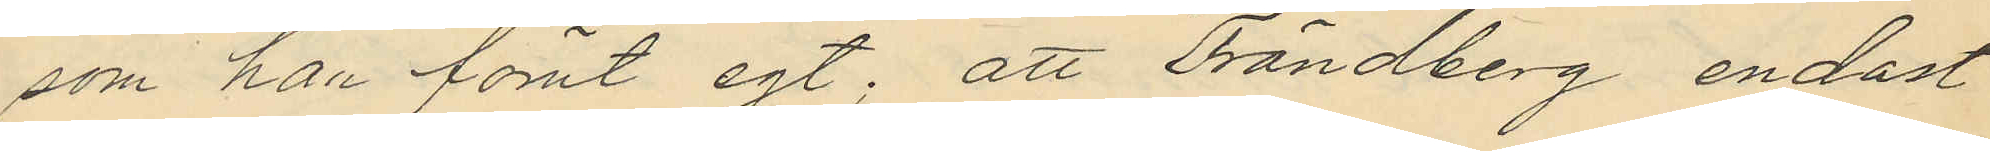som har förut egt; att Frändberg endast
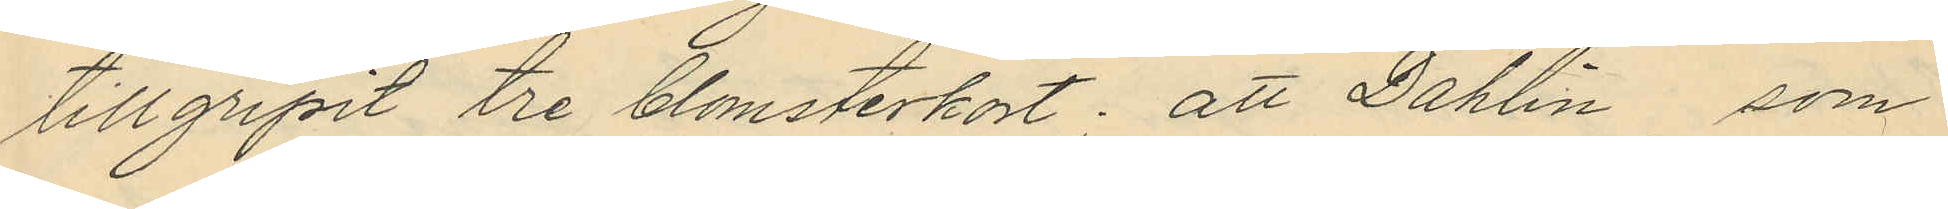tillgripit tre blomsterkort; att Dahlin som
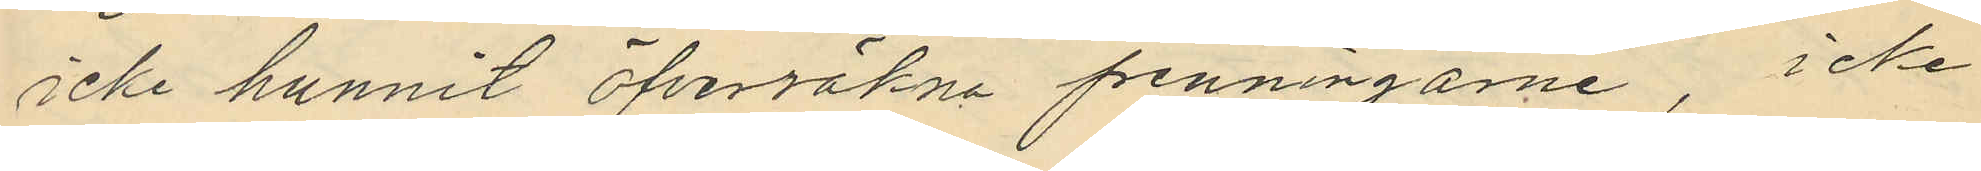icke hunnit öfverräkna penningarne, icke
